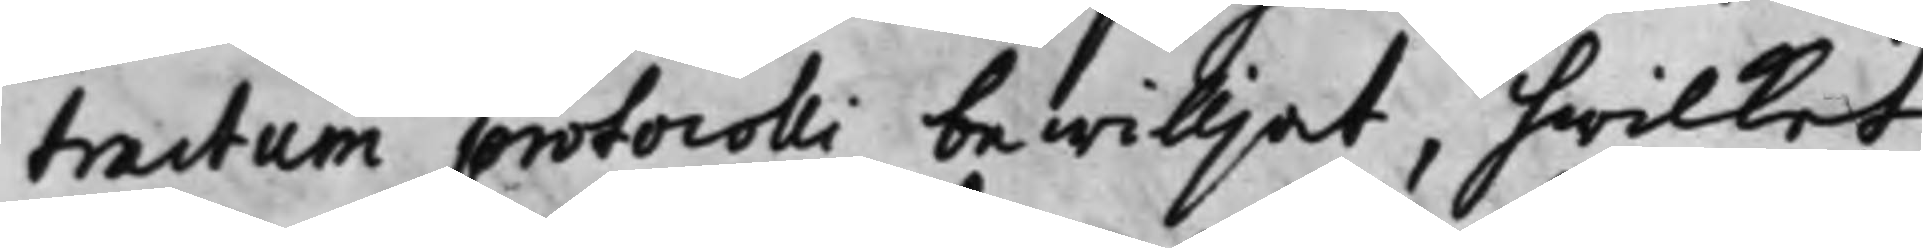tractum protocolli bewilljat, hwilket
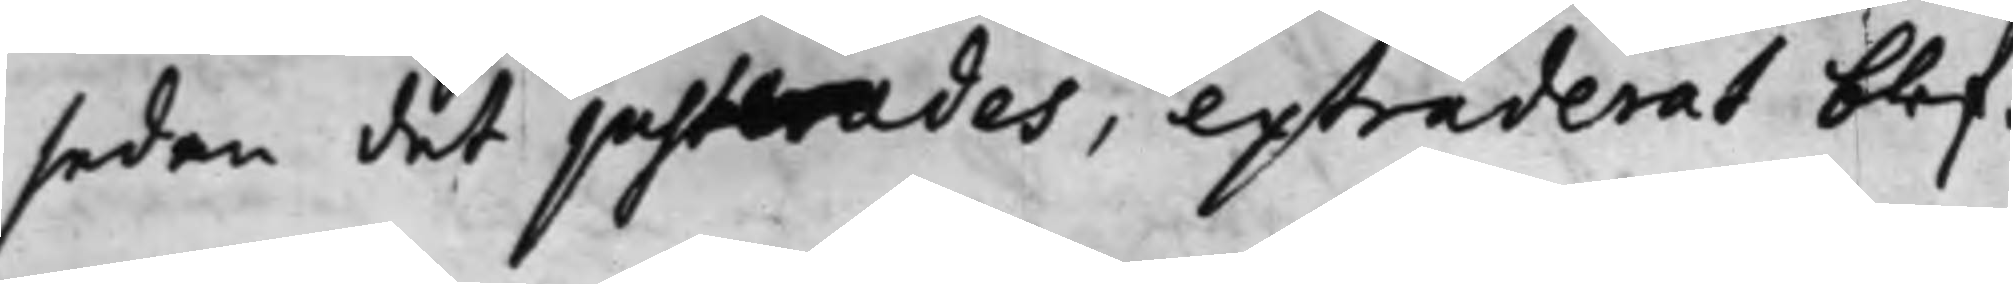sedan det justerades, extraderat blef.
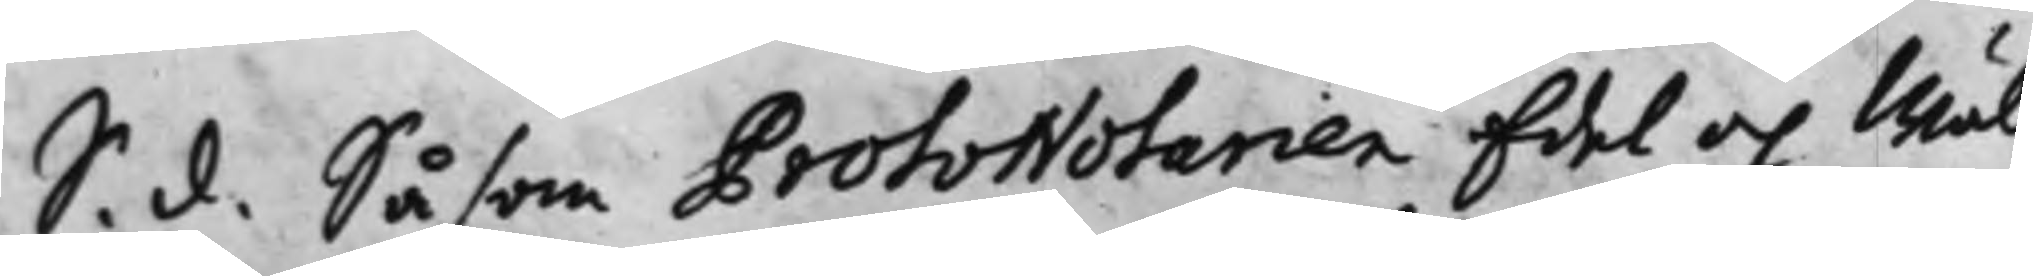S. d. Såsom ProtoNotarien Edel och Wäl¬
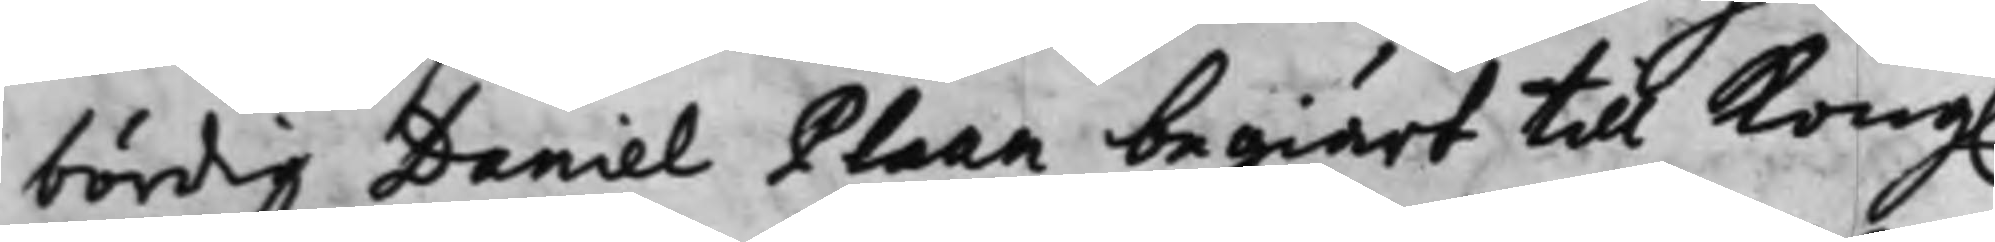bördig Daniel Plaan begiärt till Kong.
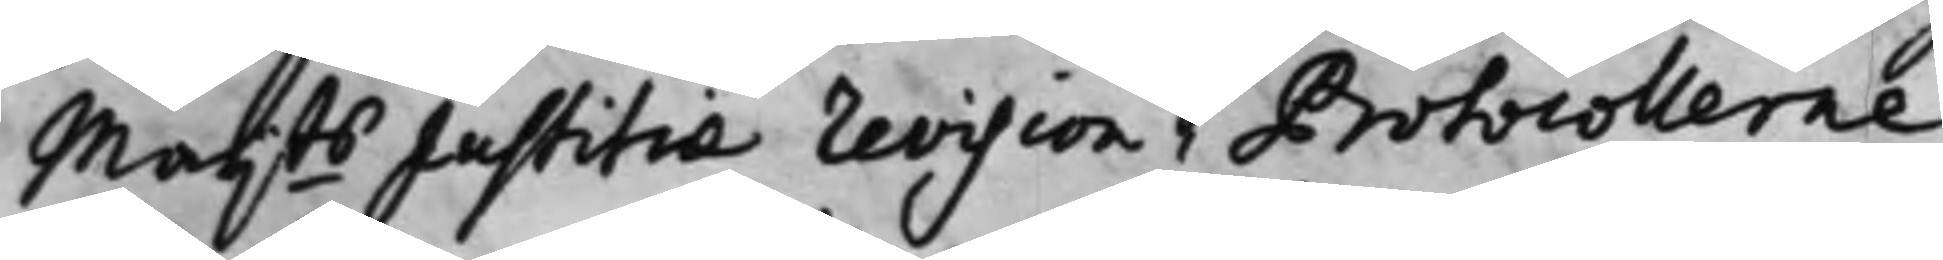Maij.ts Justitiae revision i Protocollerne
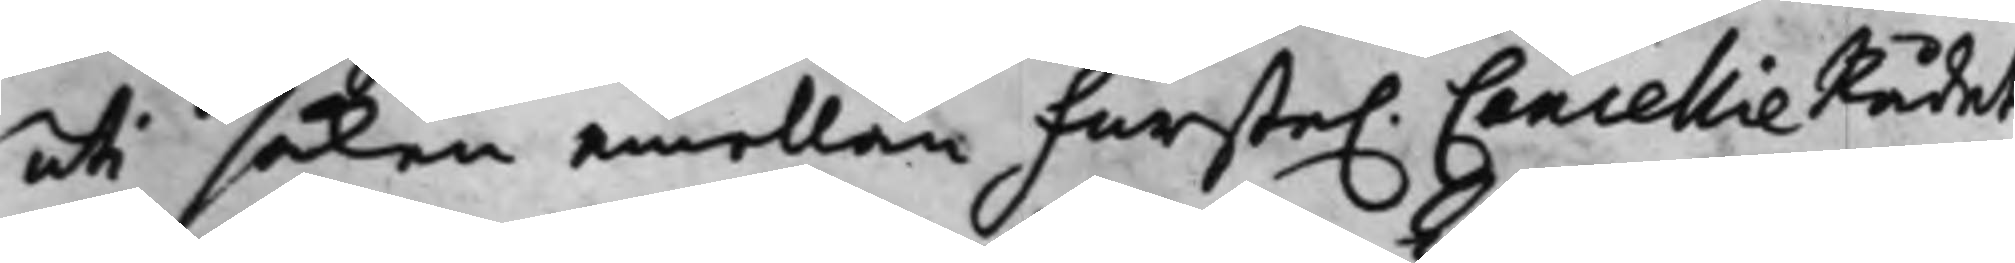uti saken emellan Furste. CancellieRådet
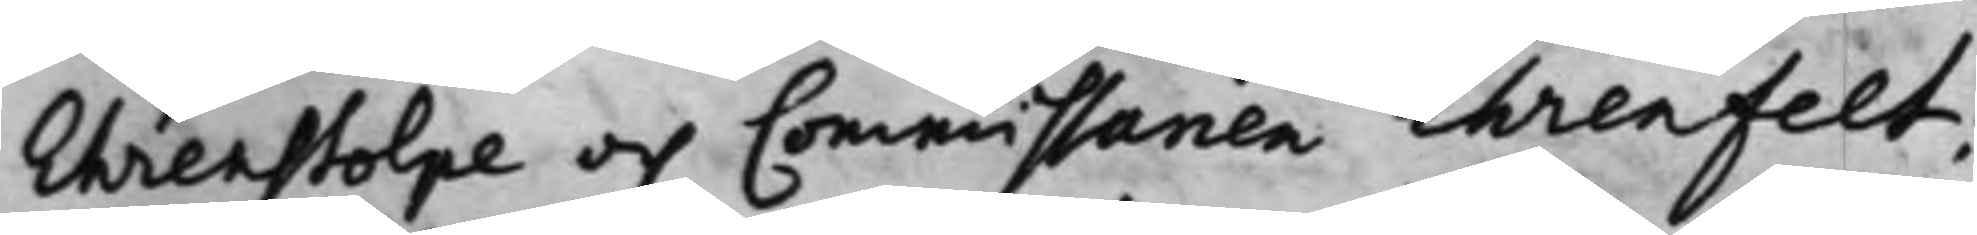Ehrenstolpe och Commissarien Ehrenfelt;
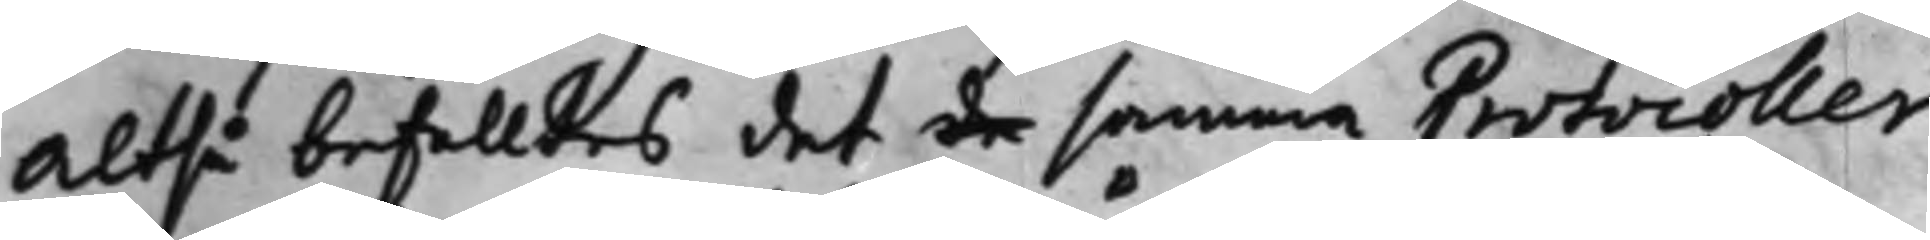Altså befalltes det de samma Protocoller
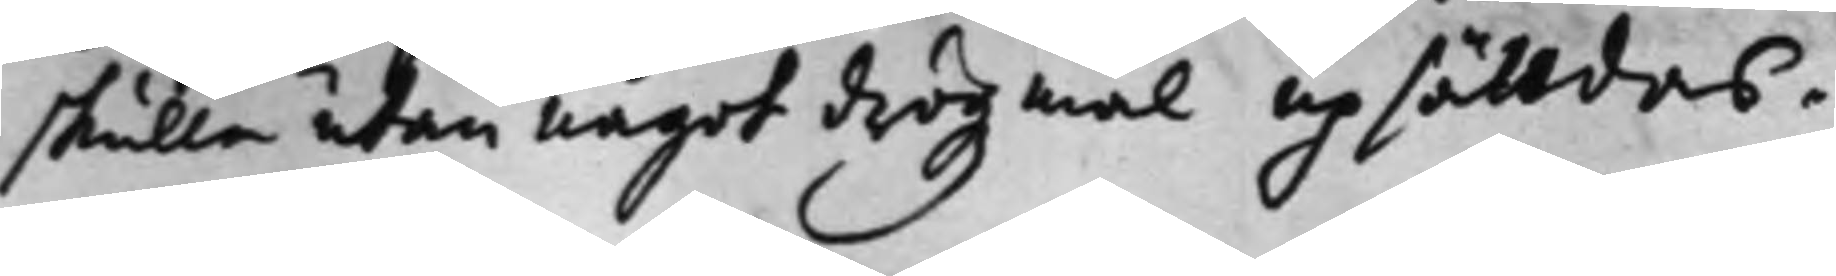skulle utan något drögzmål upsättdas.
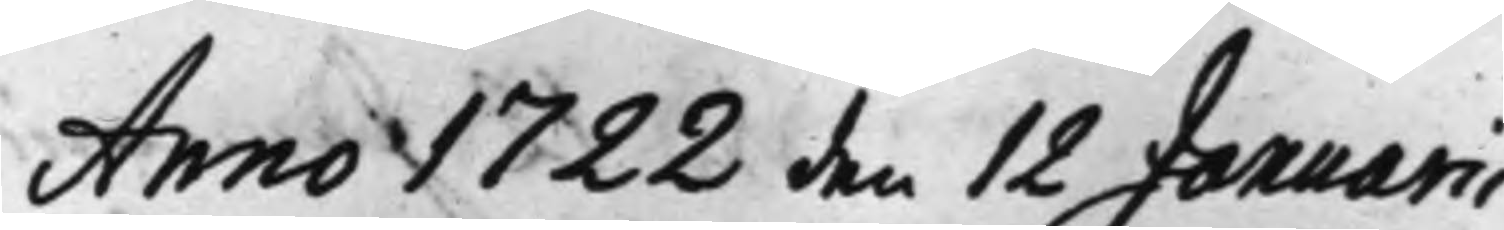Anno 1722 den 12 Januarii
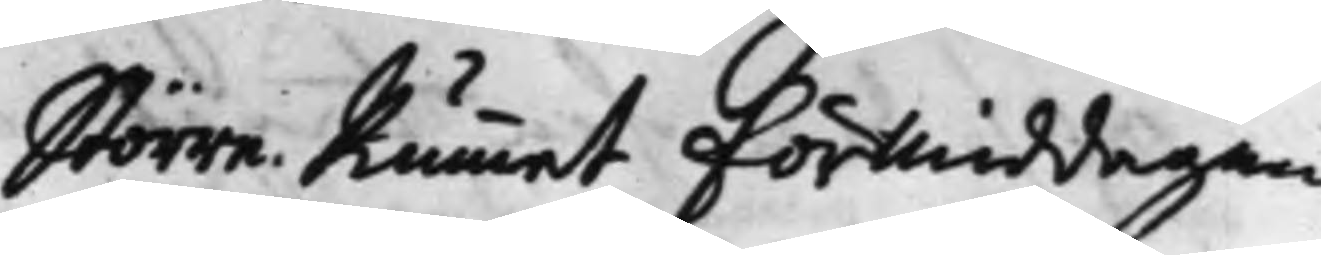Större Rummet Förmiddagen
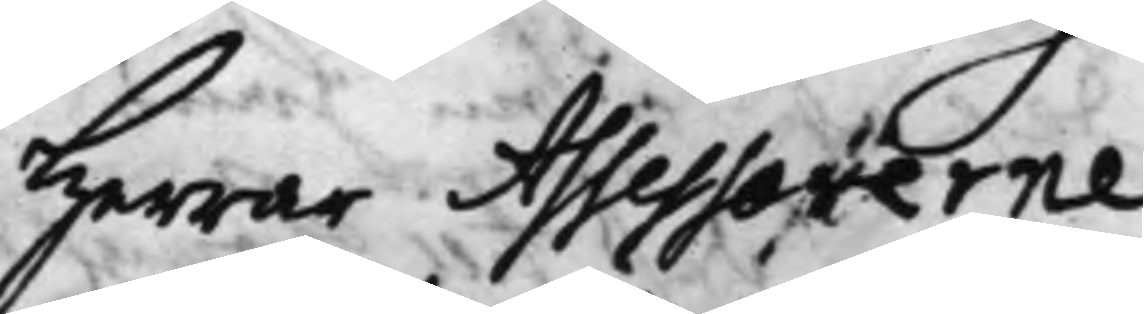Herrar Assessorerne
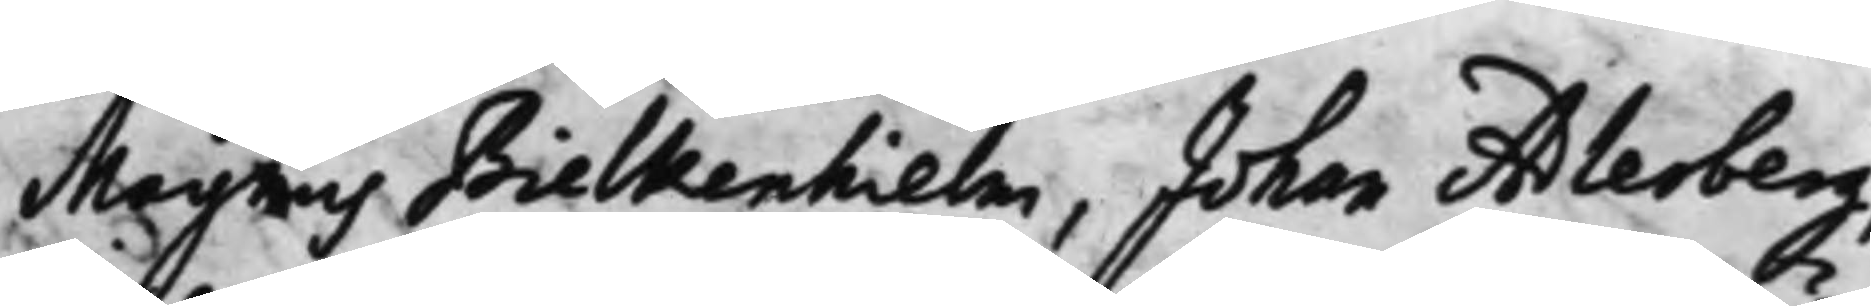Magnus Bielkenhielm, Johan Adlerberg,
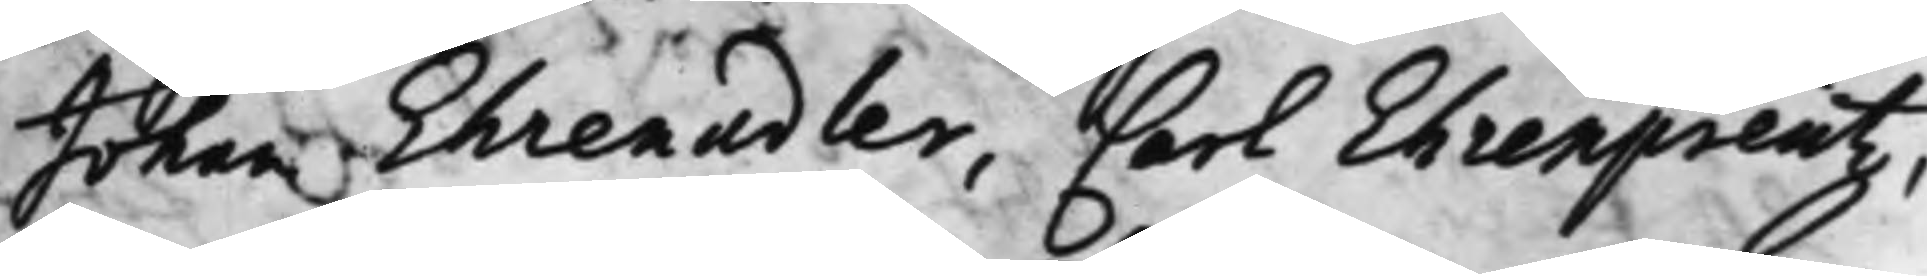Johan Ehrenadler, Carl Ehrenpreutz,
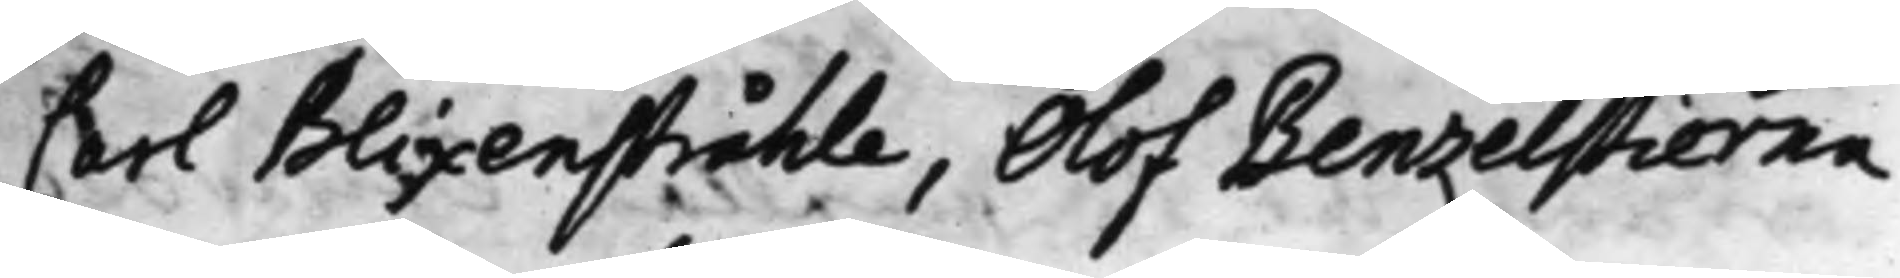Carl Blixenstråhle, Olof Benzelstierna
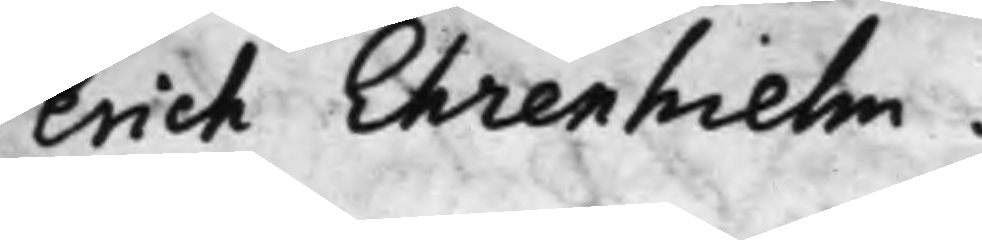Erich Ehrenhielm.
